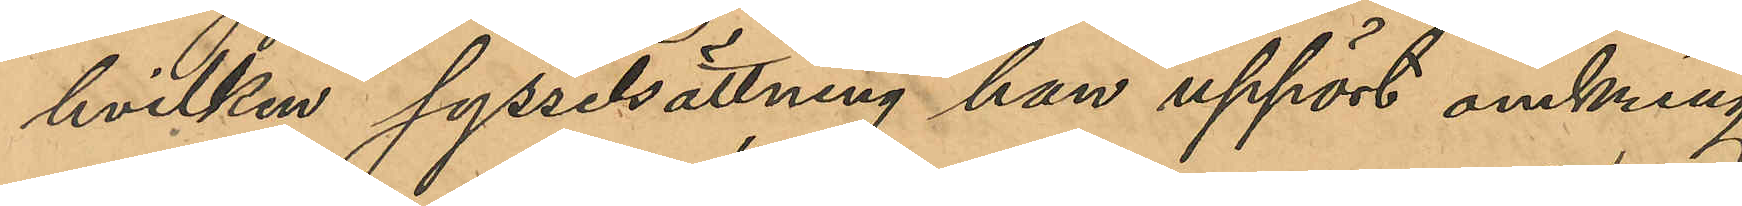hvilken sysselsättning han upphört omkring
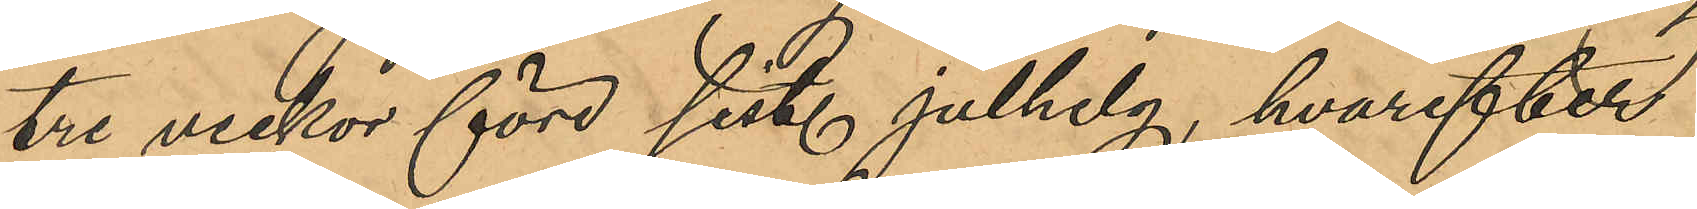tre veckor före sistl julhelg, hvarefter
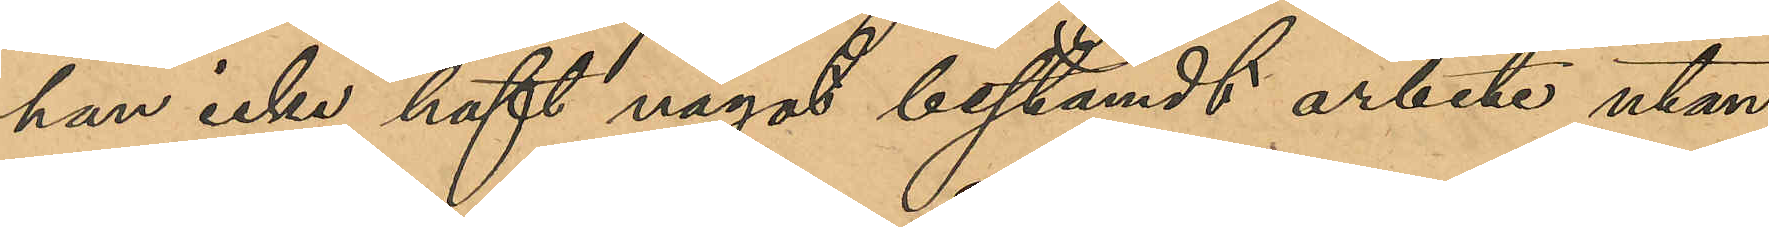han icke haft något bestämt arbete utan
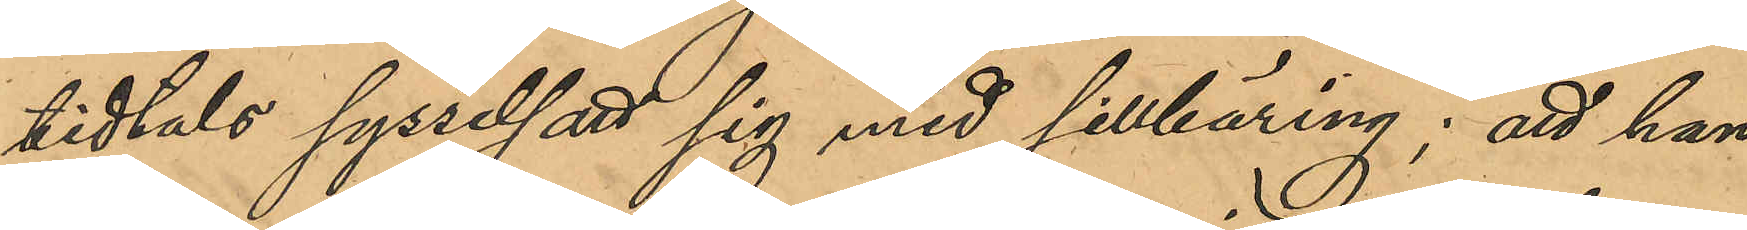tidtals sysselsatt sig med sillbäring; att han
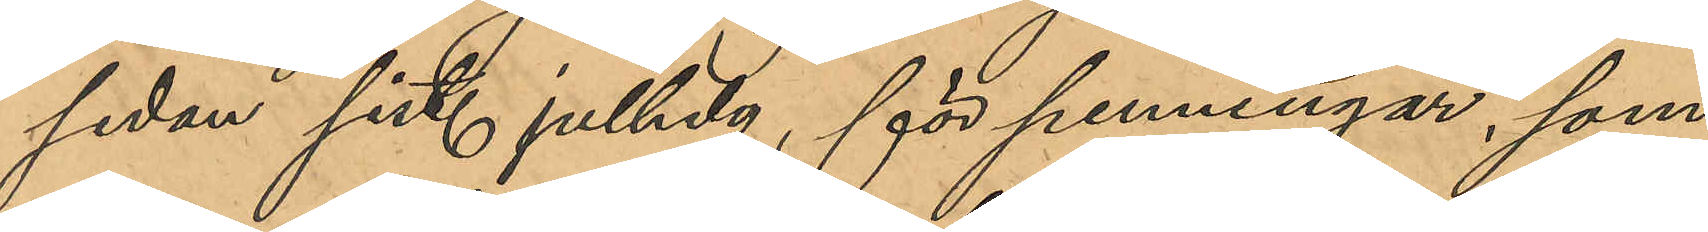sedan sist. julhelg, för penningar, som
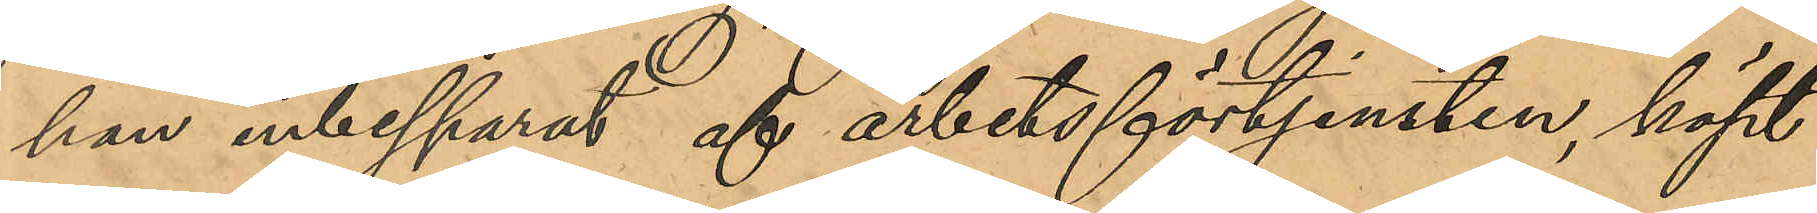han inbesparat af arbetsförtjensten, köpt
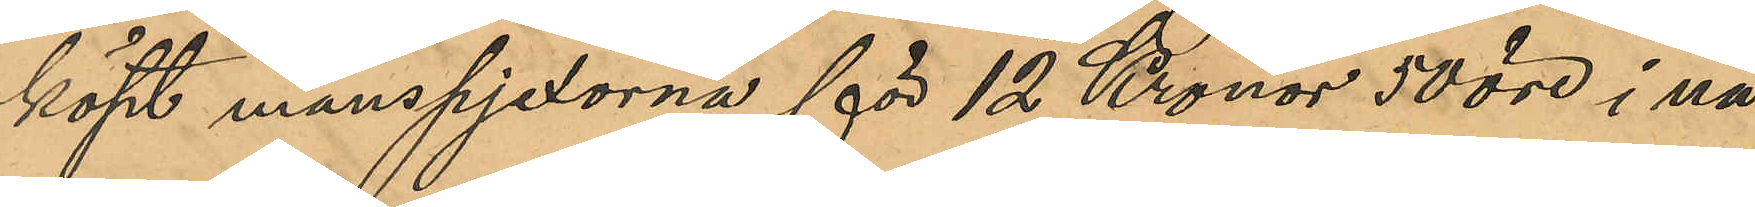köpt manspjexorna för 12 Kronor 50 öre i nå¬
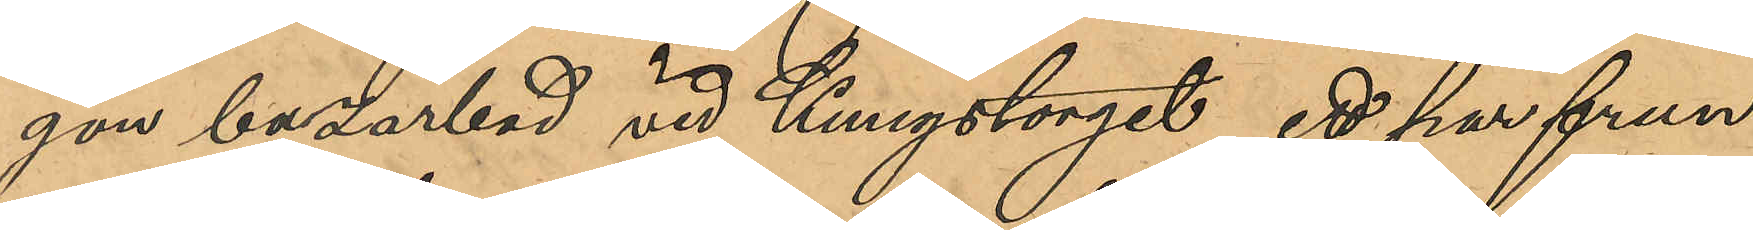gon bazarbod vid Kungstorget, ett par frun¬
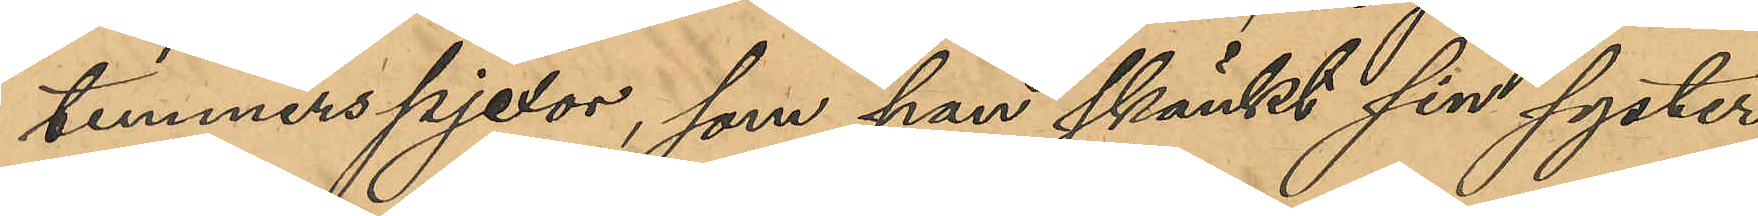timmerspjexor, som han skänkt sin syster
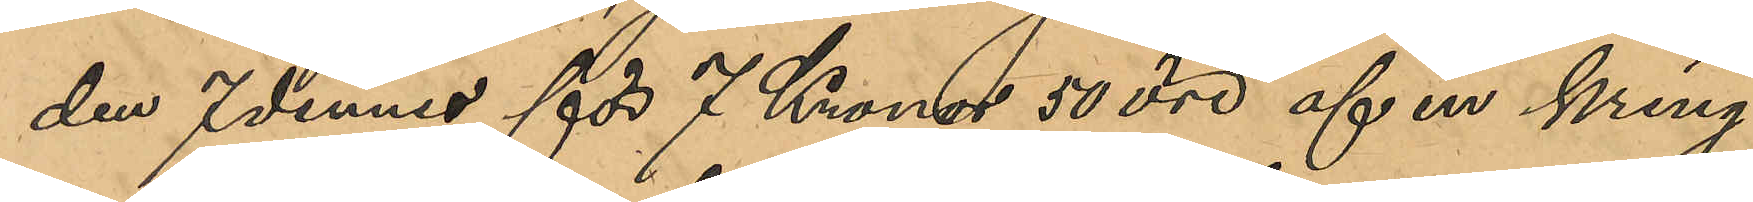den 7 dennes för 7 Kronor 50 öre af en kring¬
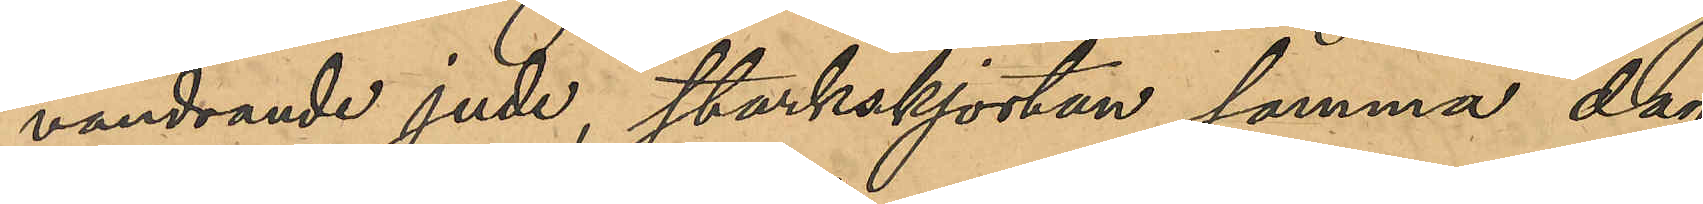vandrande jude, starkskjortan samma dag
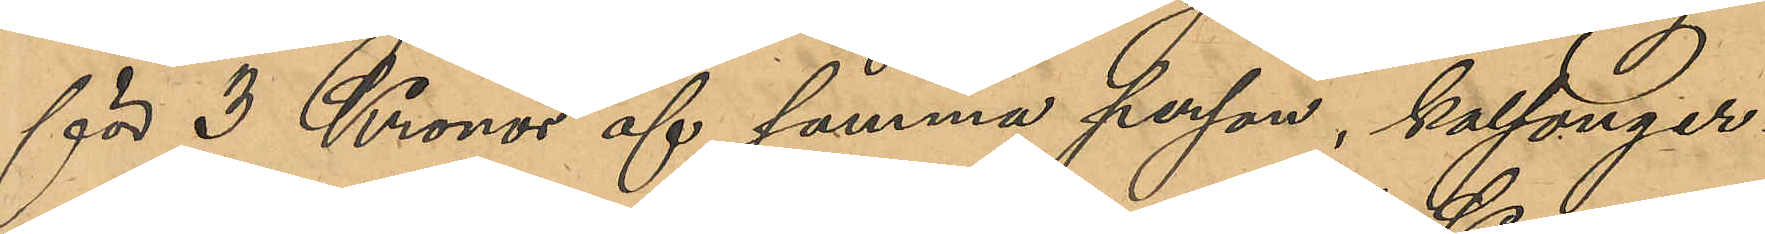för 3 Kronor af samma person, kalsonger¬
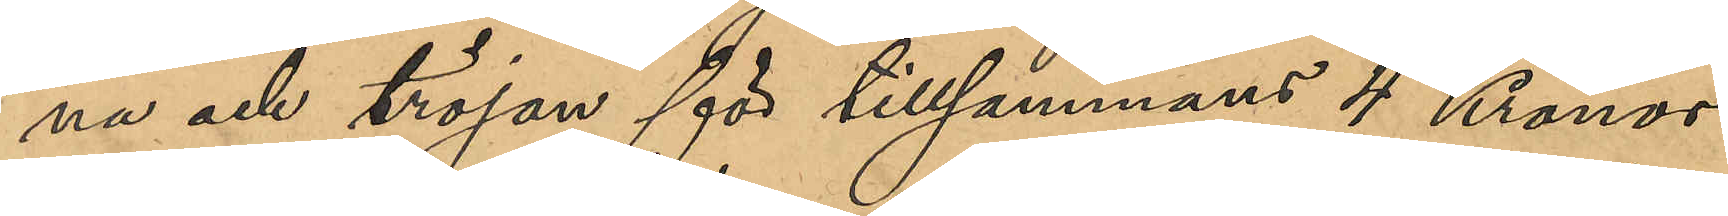na och tröjan för tillsammans 4 Kronor
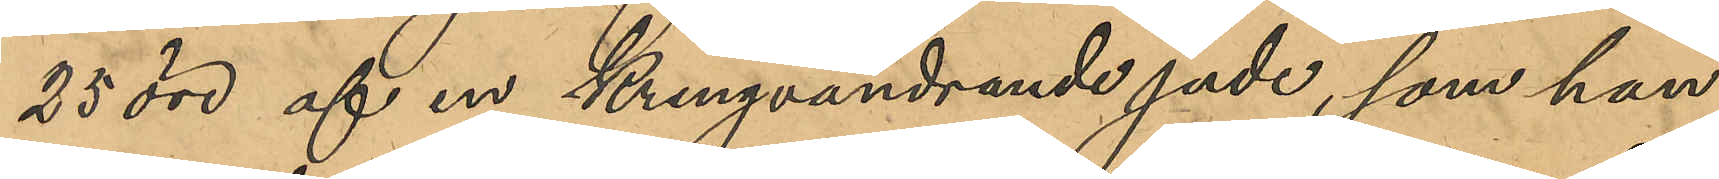25 öre af en kringvandrande jude, som han
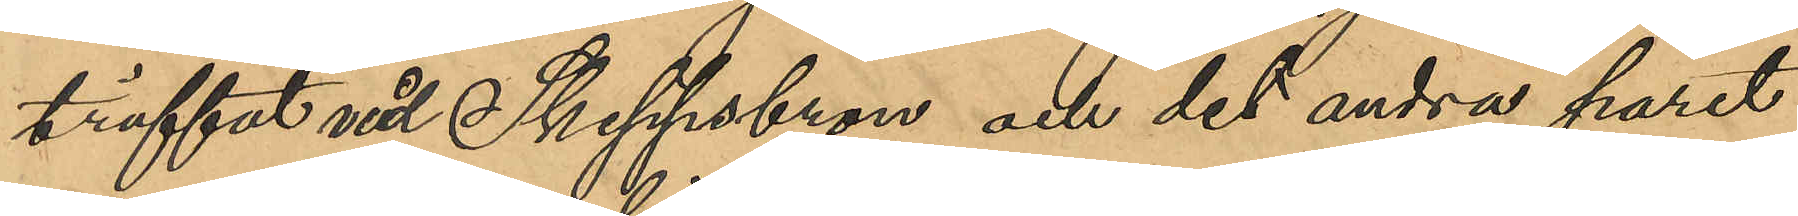träffat vid Skeppsbron och det andra paret
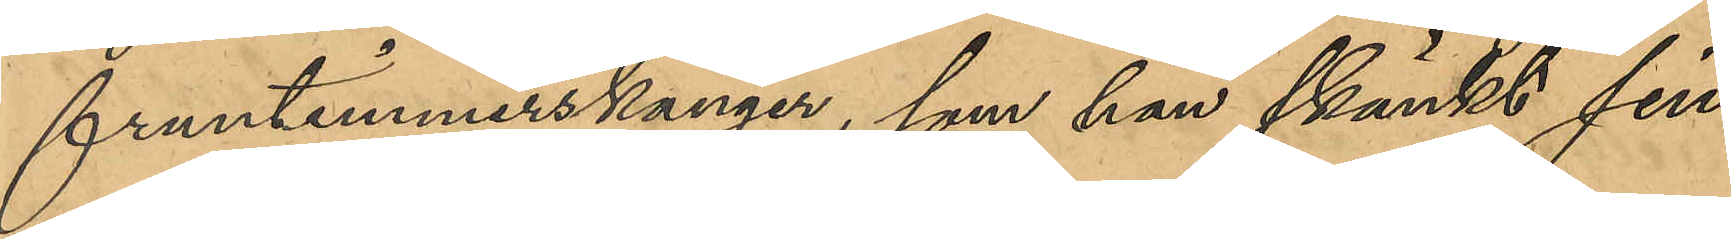fruntimmerskängor, som han skänkt sin
